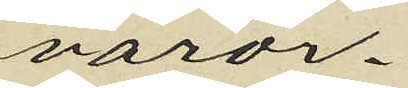varor.
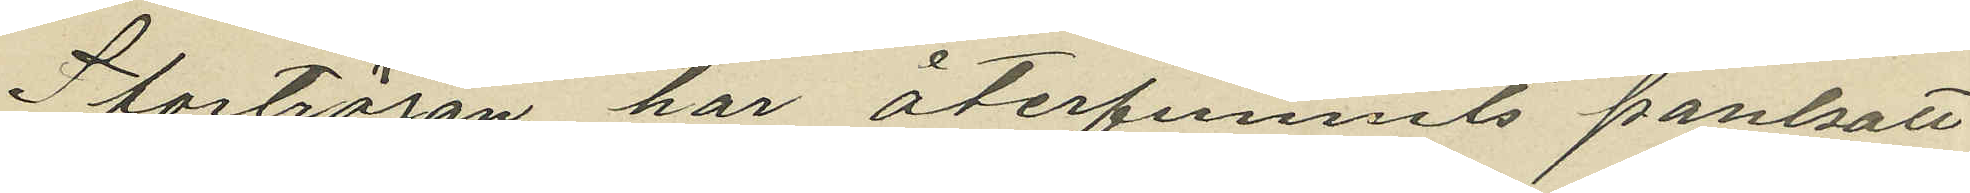Stortröjan har återfunnits pantsatt
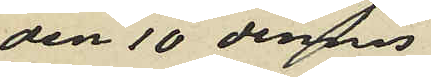den 10 dennes
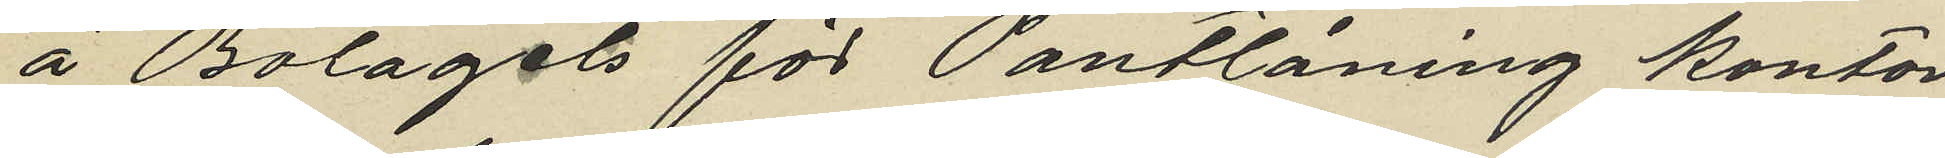å Bolagets för Pantlåning kontor
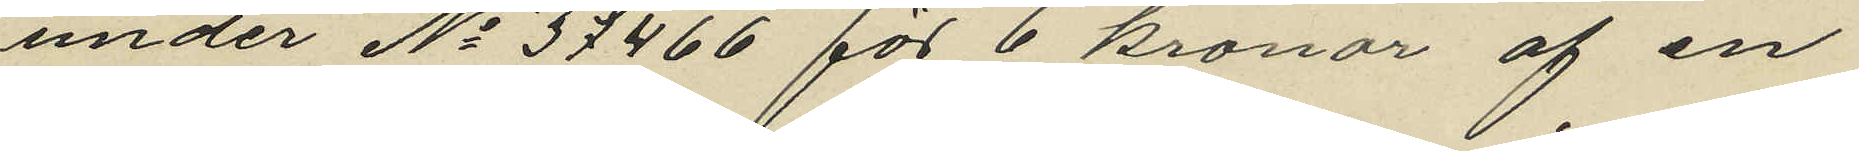under No 37466 för 6 kronor af en
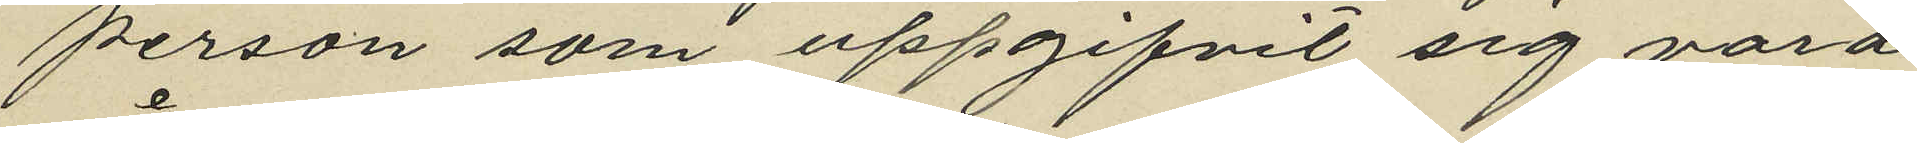person som uppgifvit sig vara
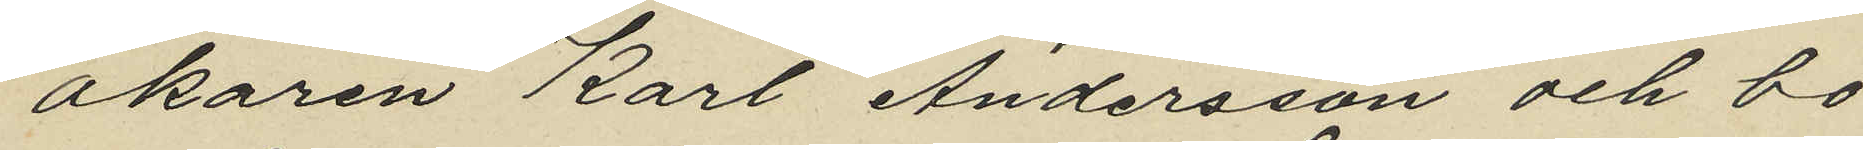åkaren Karl Andersson och bo
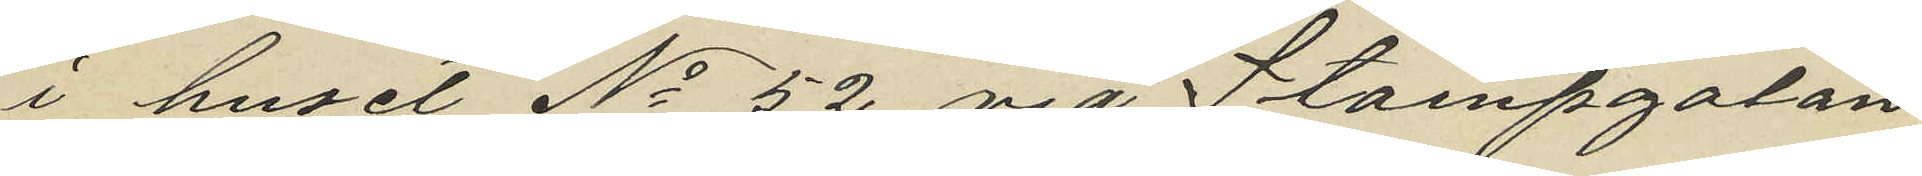i huset No 52 vid Stampgatan.
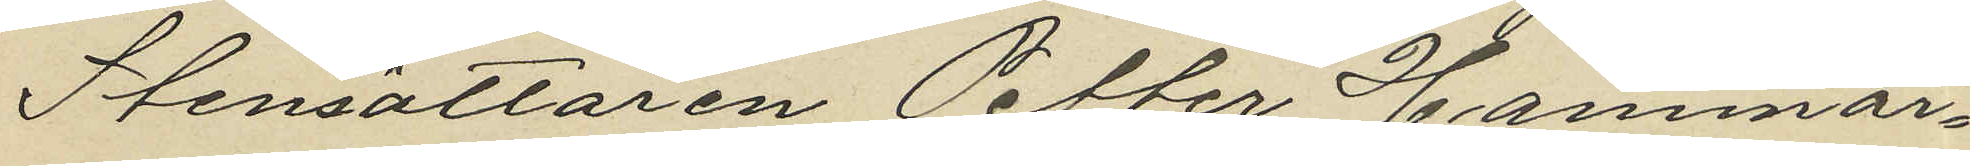Stensättaren Petter Hammar¬
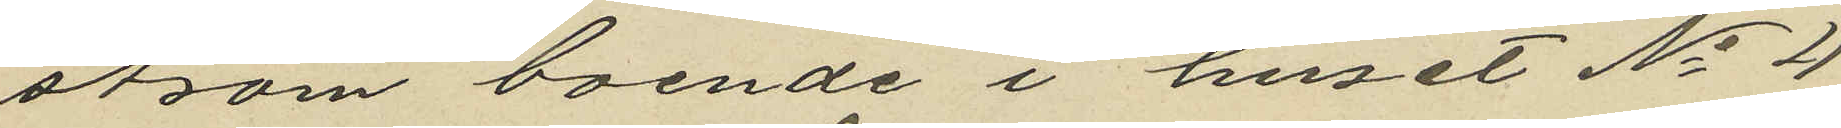ström boende i huset No 2
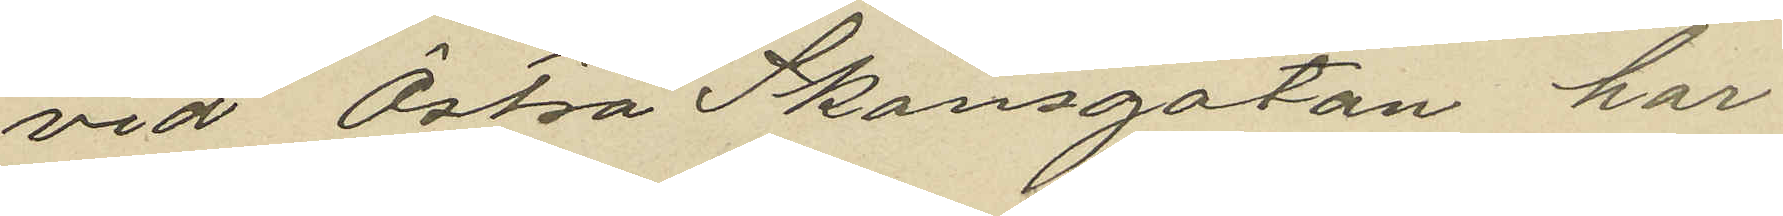vid Östra Skansgatan har
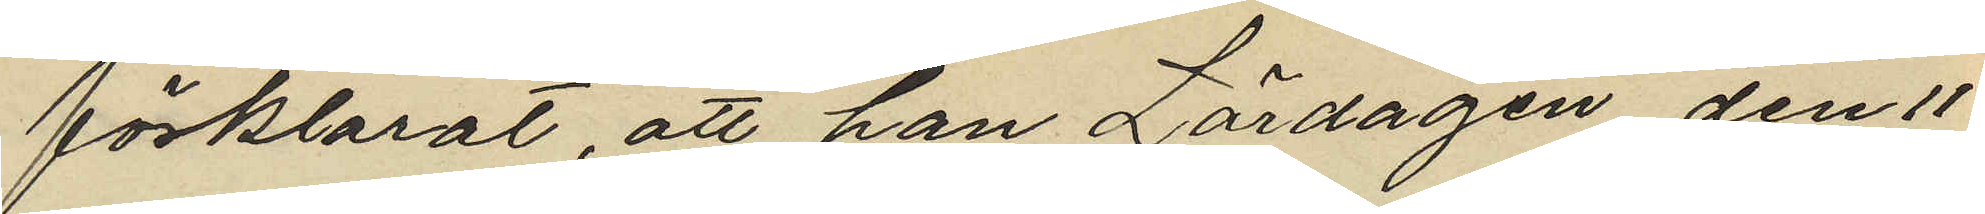förklarat, att han Lördagen den 11
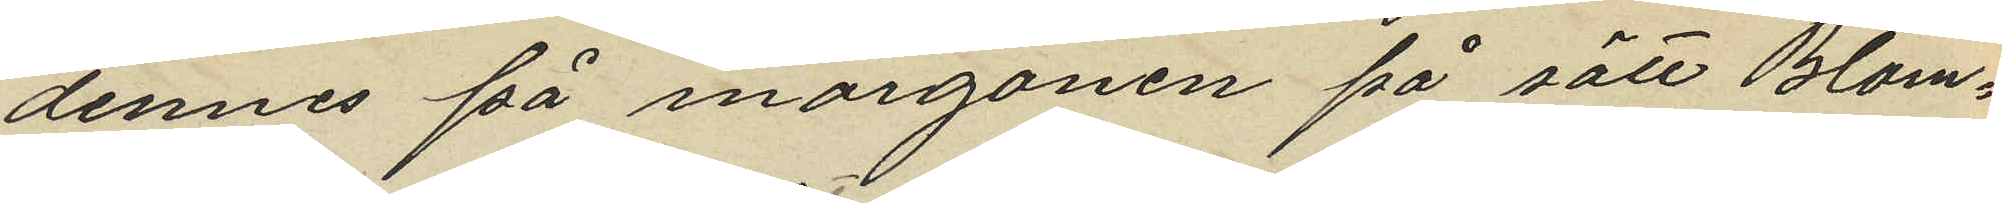dennes på morgonen på sätt Blom¬
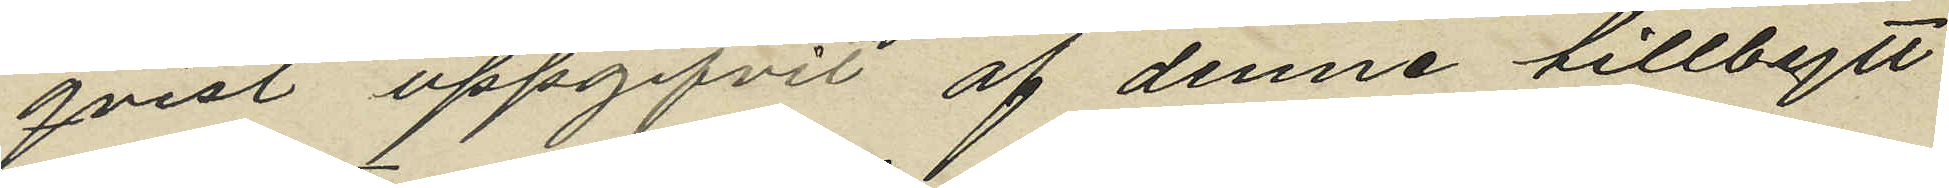qvist uppgifvit af denne tillbytt
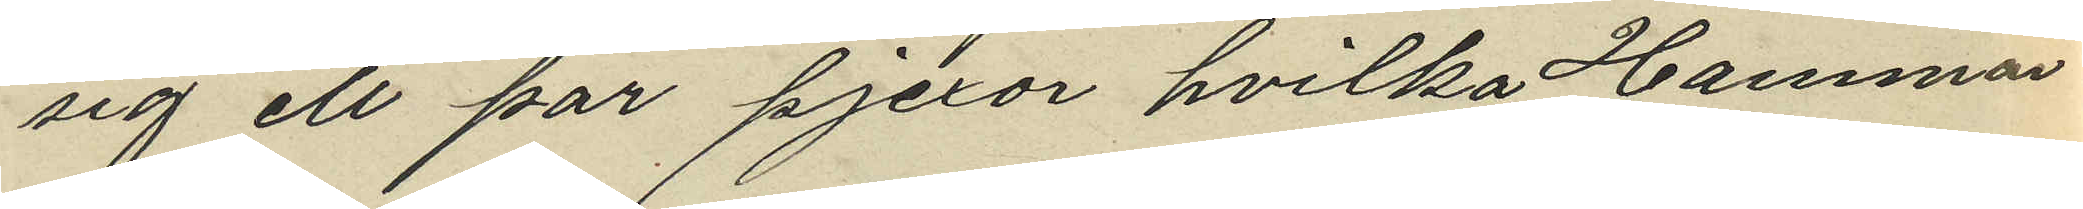sig ett par pjexor hvilka Hammar
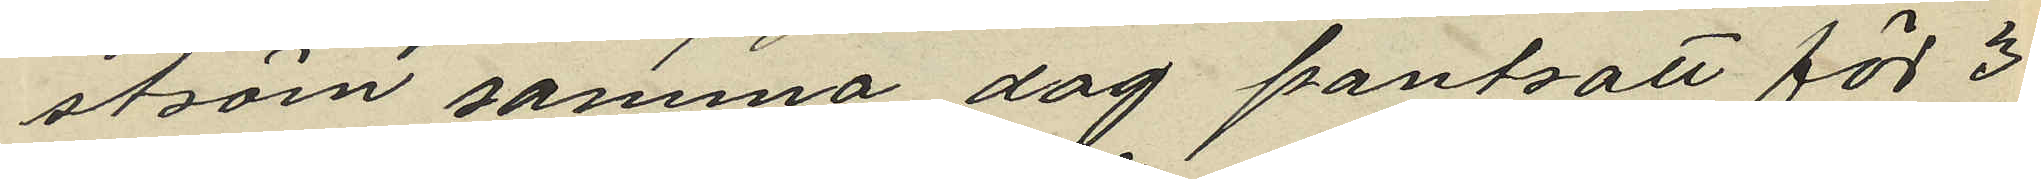ström samma dag pantsatt för 3
